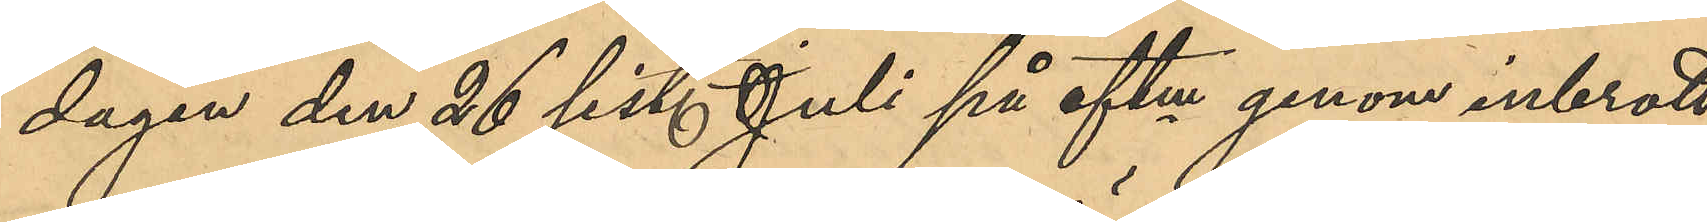dagen den 26 sist. Juli på eftm genom inbrott
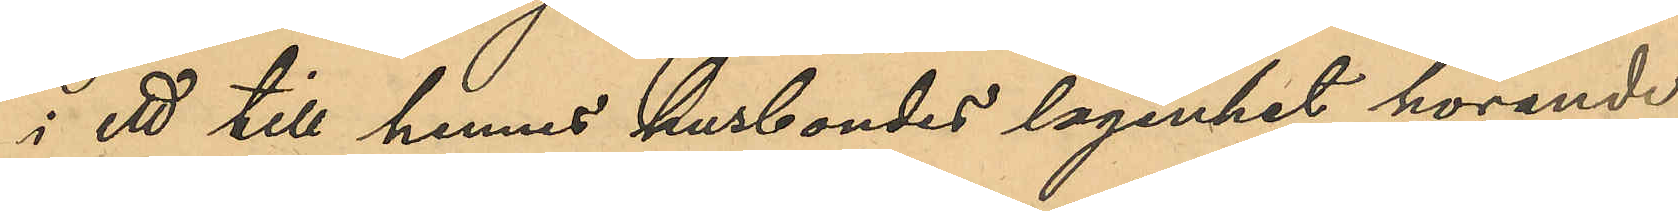i ett till hennes husbondes lägenhet hörande
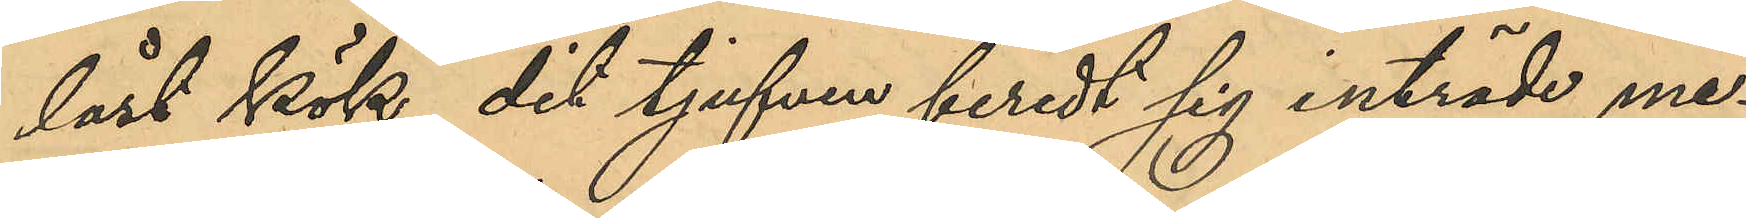låst kök, dit tjufven beredt sig inträde me¬
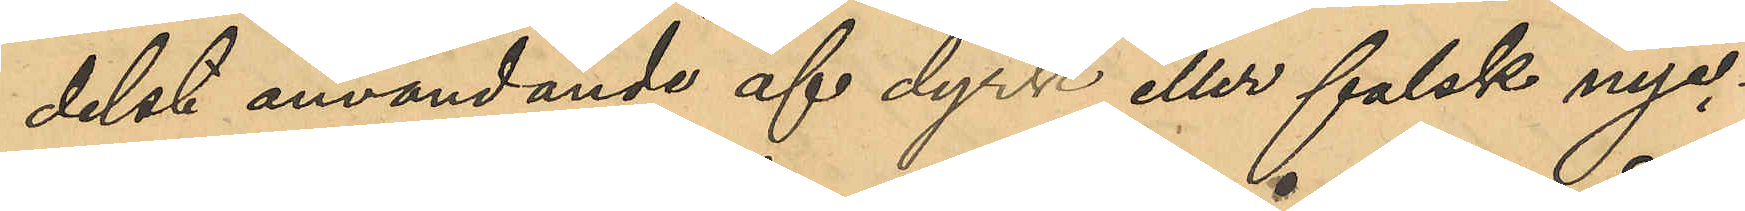delst användande af dyrk eller falsk nyc¬
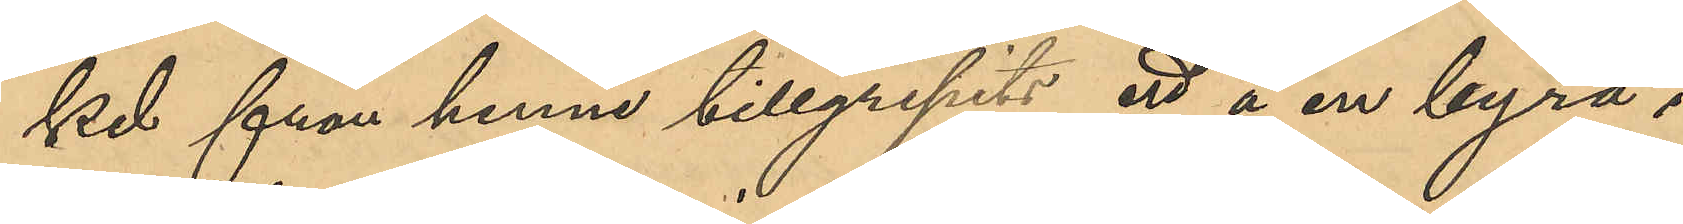kel från henne tillgripits ett å en byrå i
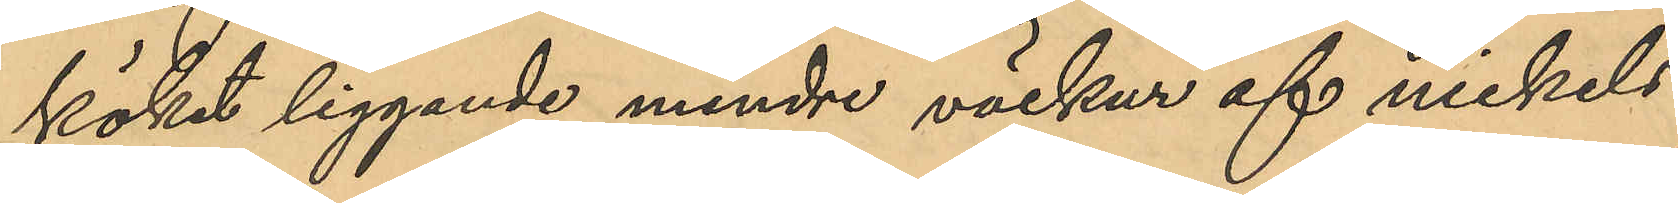köket liggande mindre väckur af nickels¬
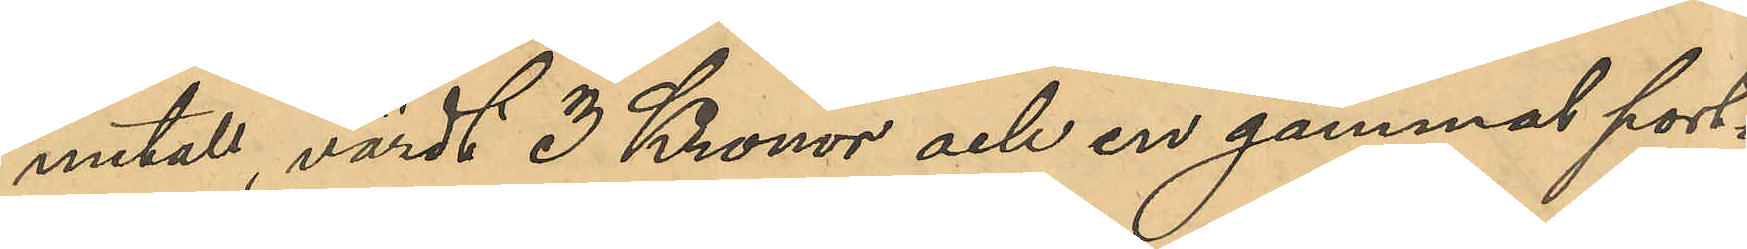metall, värdt 3 Kronor och en gammal port¬
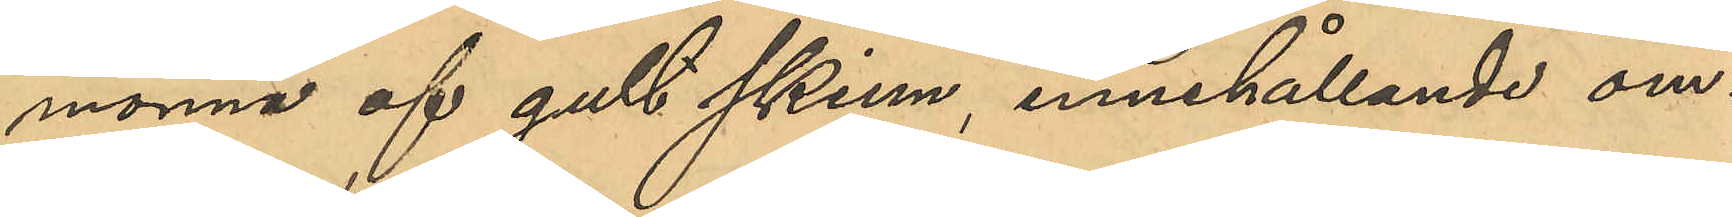monnä af gult skinn, innehållande om¬
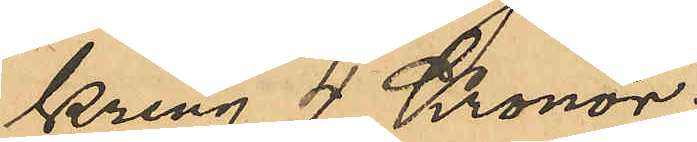kring 4 Kronor.
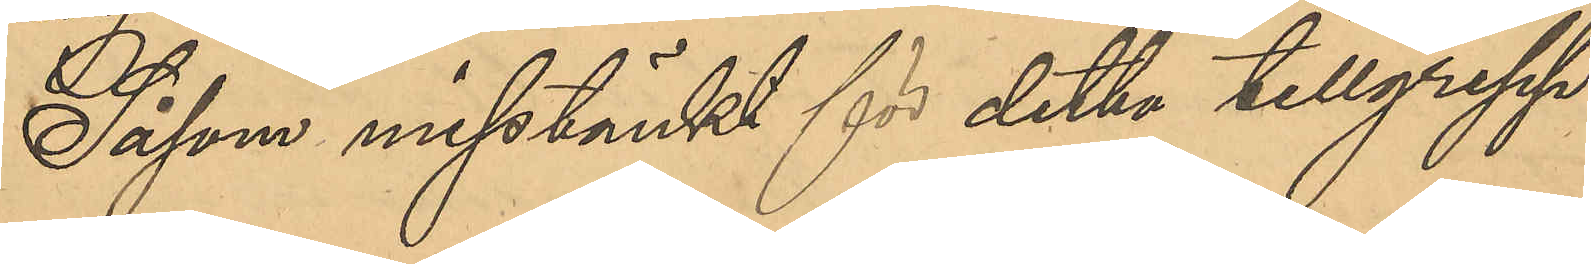Såsom misstänkt för detta tillgrepp
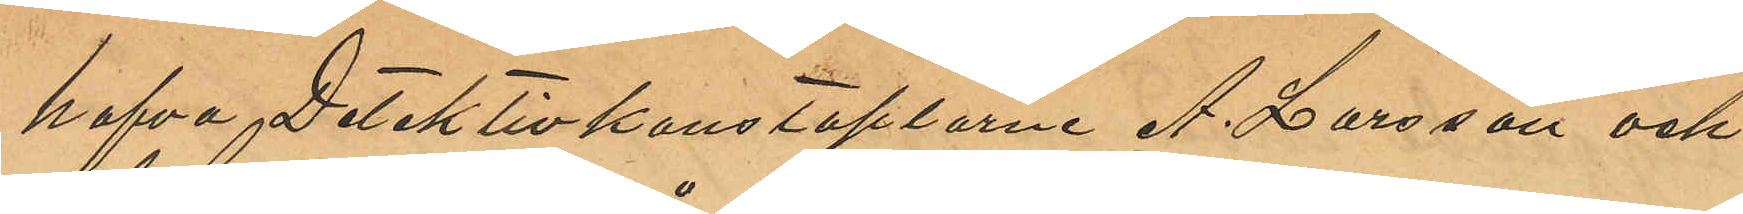hafva Detektivkonstaplarne A. Larsson och
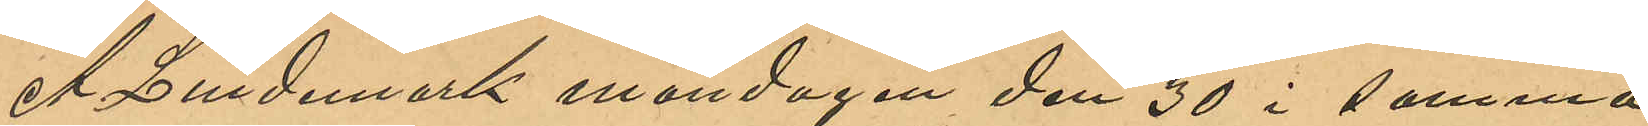A. Lindemark måndagen den 30 i denna
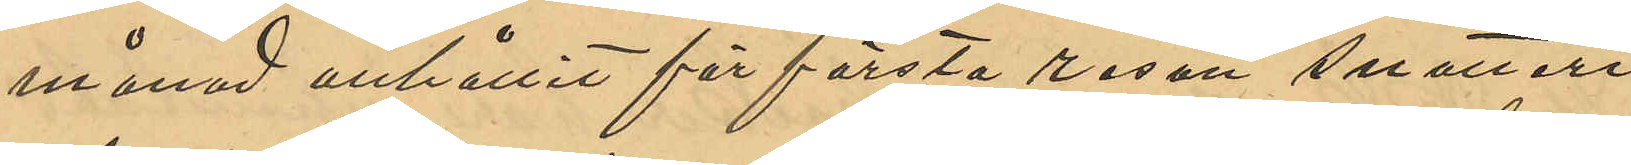månad anhållit för första resan snatteri
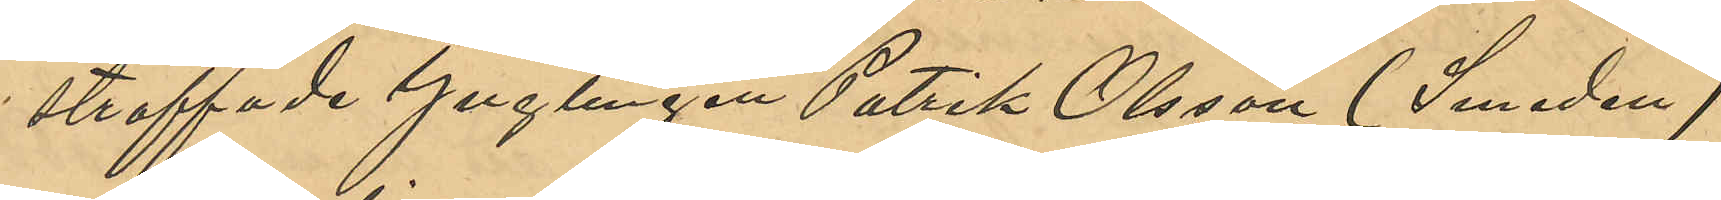straffade Ynglingen Patrik Olsson (Smeden)
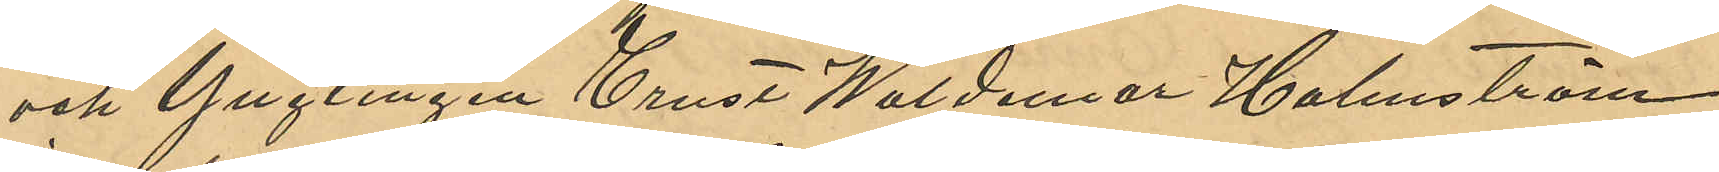och Ynglingen Ernst Waldemar Holmström
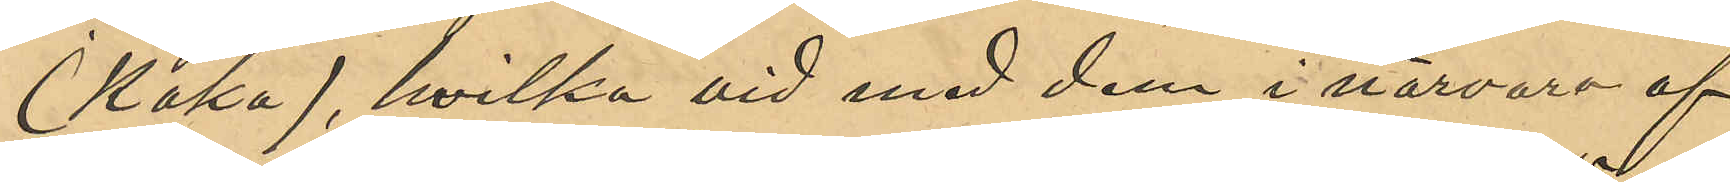(Kaka), hvilka vid med dem i närvaro af
